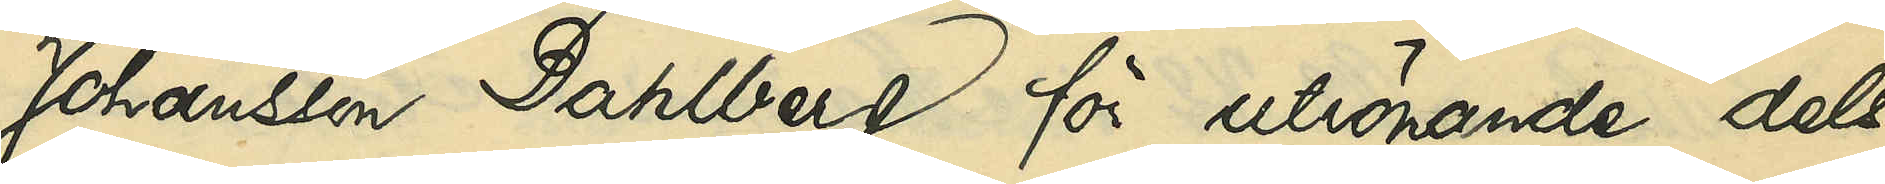Johansson Dahlberg för utrönande dels
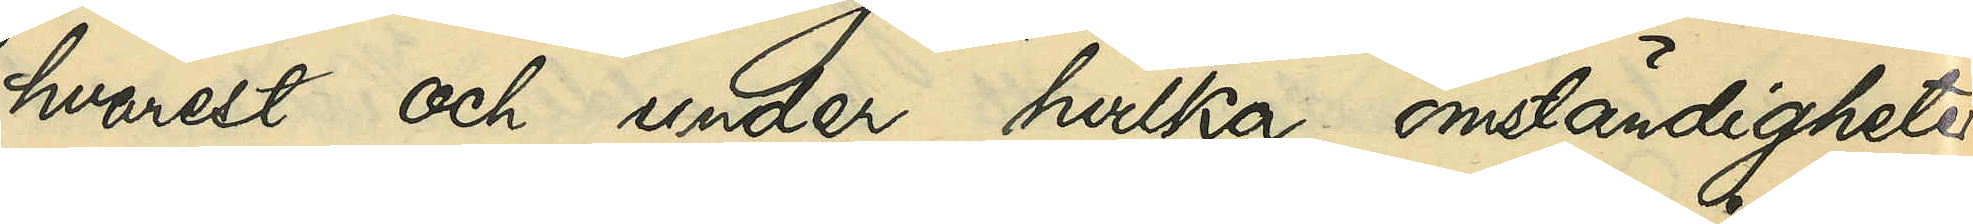hvarest och under hvilka omständigheter
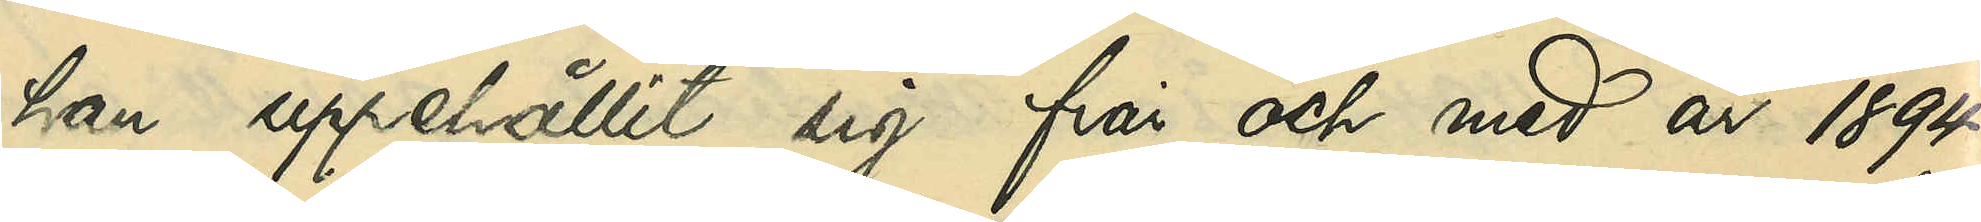han uppehållit sig från och med år 1894
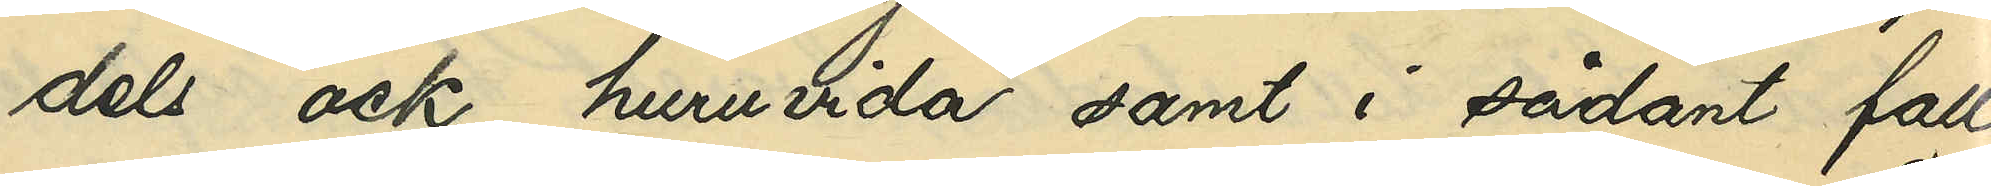dels ock, huruvida samt i sådant fall
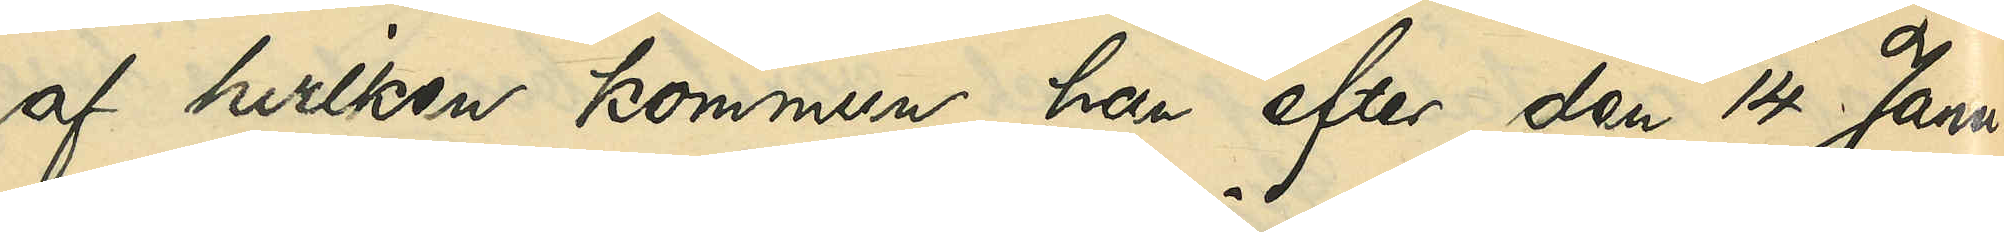af hvilken kommun han efter den 14 Janu¬
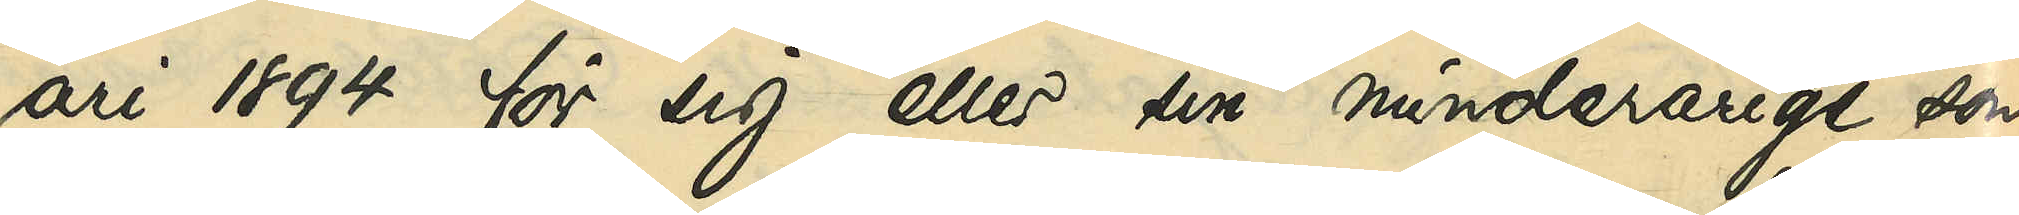ari 1894 för sig eller sin minderårige son
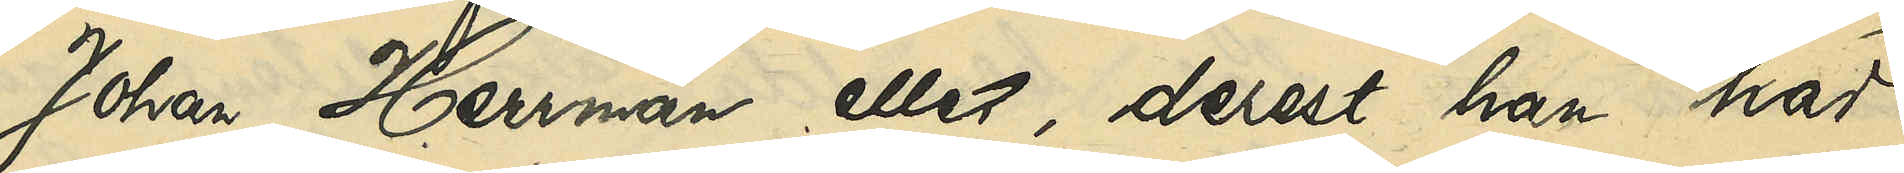Johan Herrman eller, derest han har
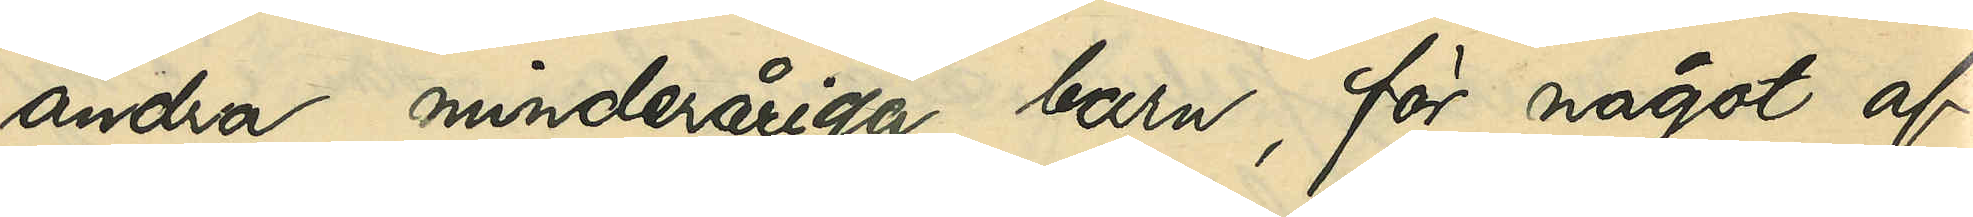andra minderåriga barn, för något af
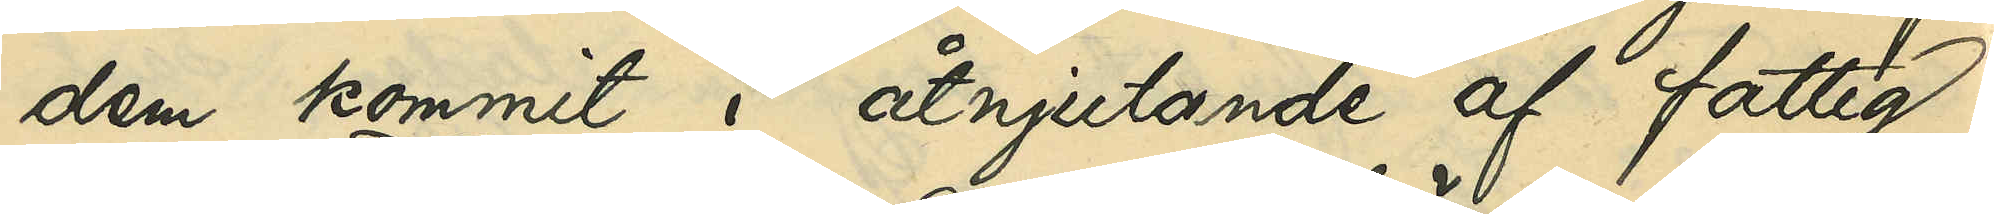dem kommit i åtnjutande af fattig¬
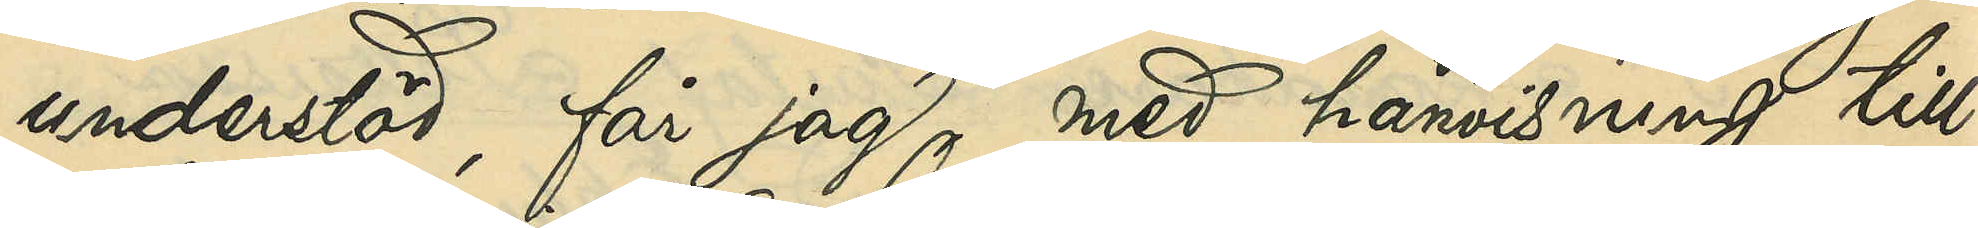understöd, får jag, med hänvisning till
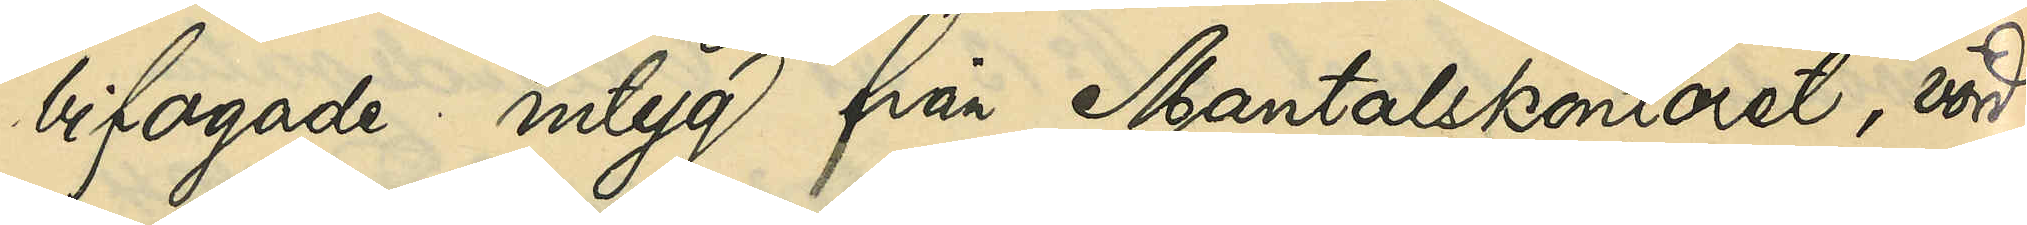bifogade intyg från Mantalskontoret, vörd¬
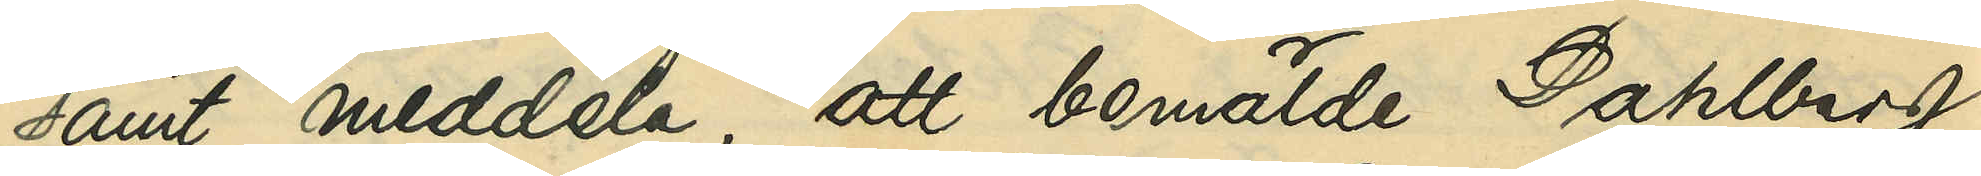samt meddela, att bemälde Dahlberg
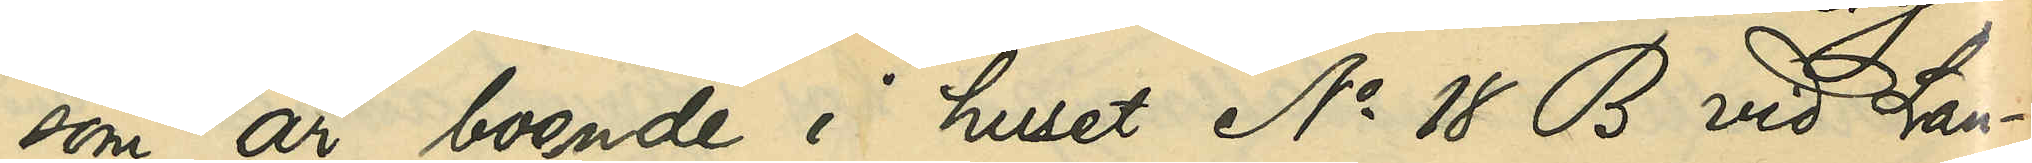som är boende i huset No 18 B vid Lan¬
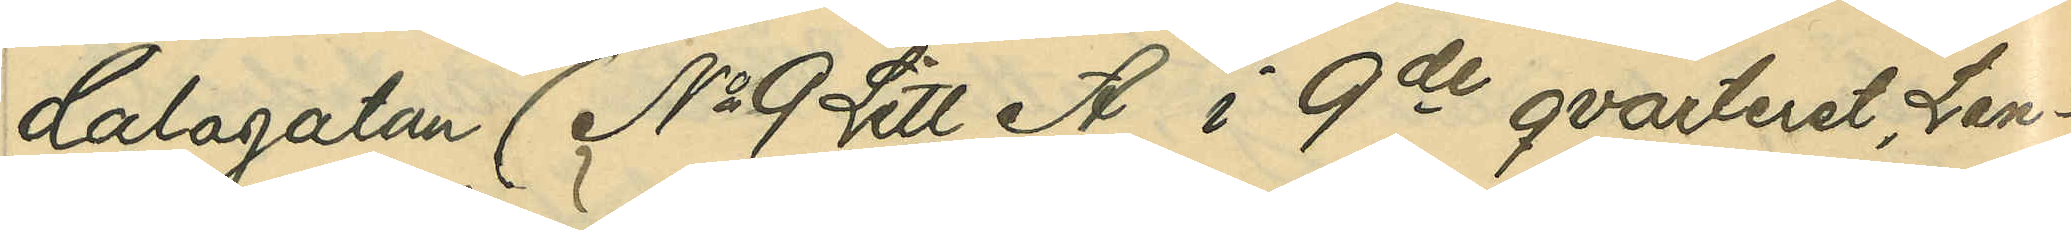dalagatan (No 9 Litt.A i 9de qvarteret, Lan¬
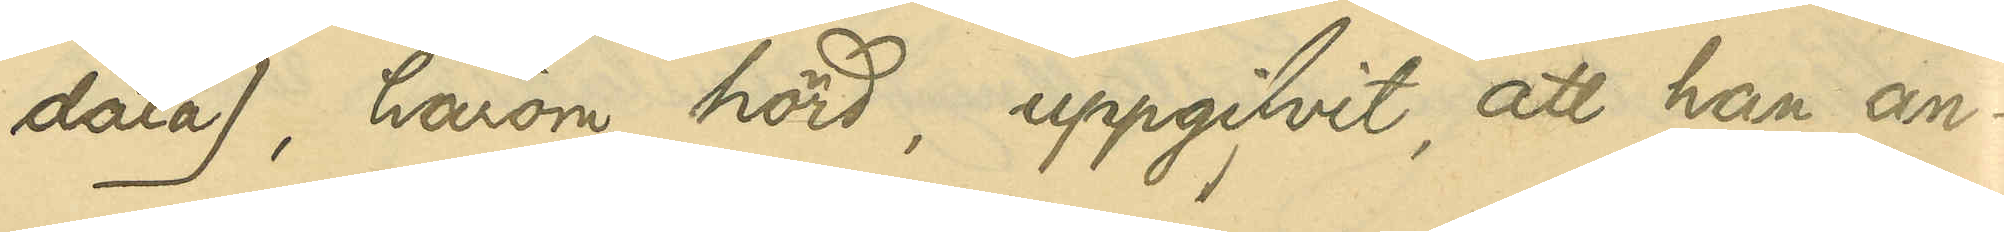dala), härom hörd, uppgifvit, att han, an¬
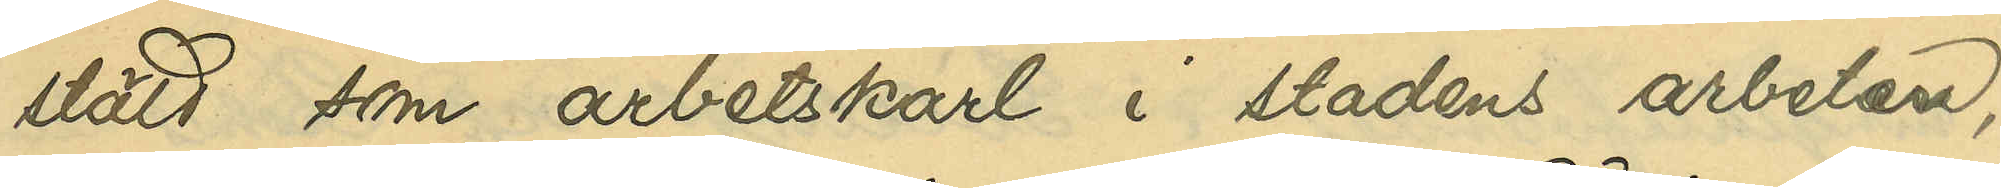stäld som arbetskarl i stadens arbeten,
